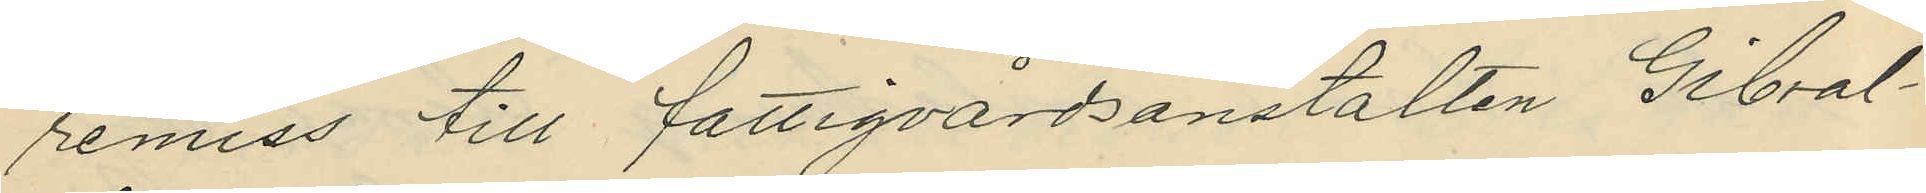remiss till fattigvårdsanstalten Gibral¬
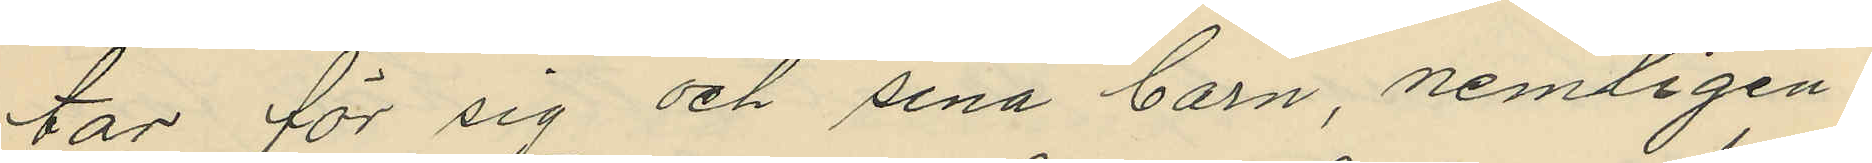tar för sig och sina barn, nemligen:
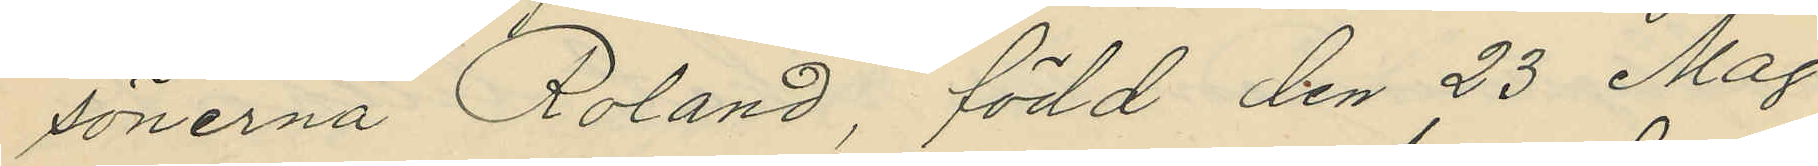sönerna Roland, född den 23 Maj
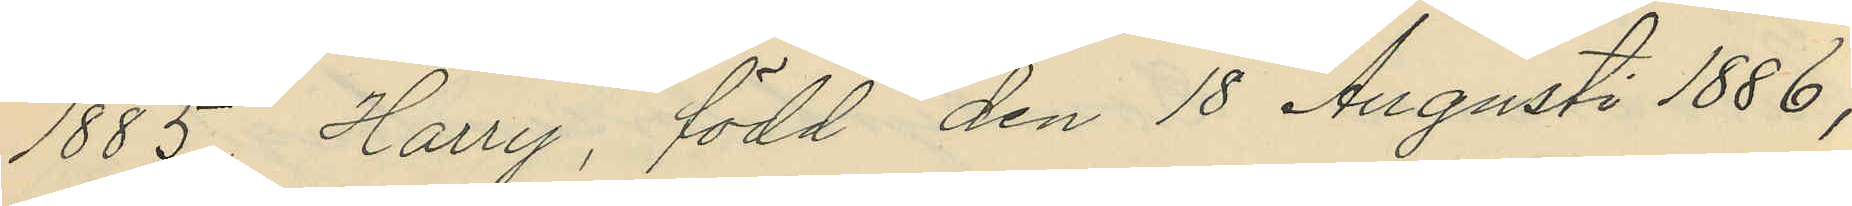1885, Harry, född den 18 Augusti 1886,
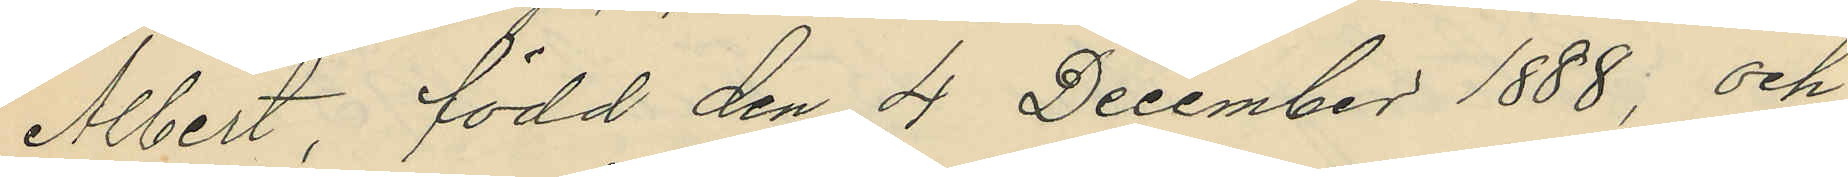Albert, född den 4 December 1888; och
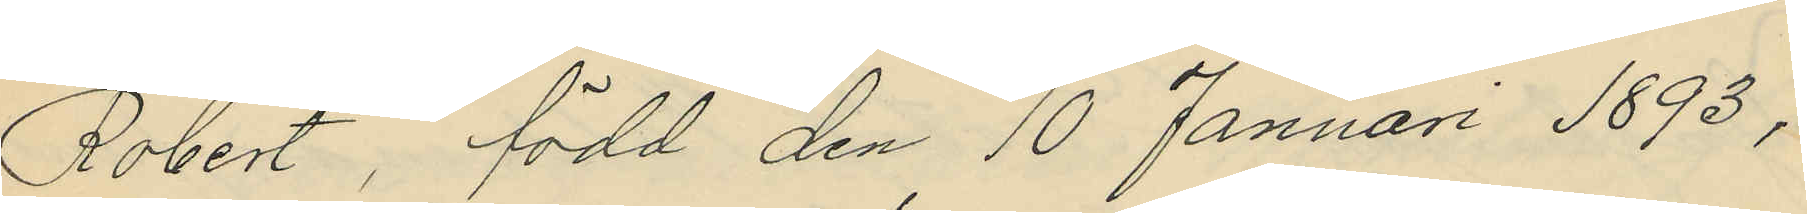Robert, född den 10 Januari 1893.
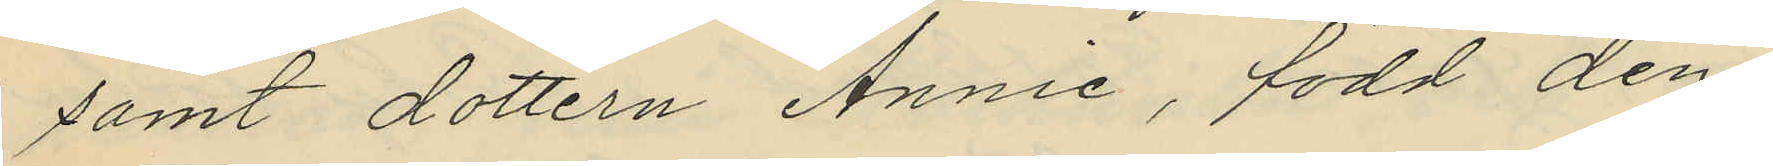samt dottern Annie, född den
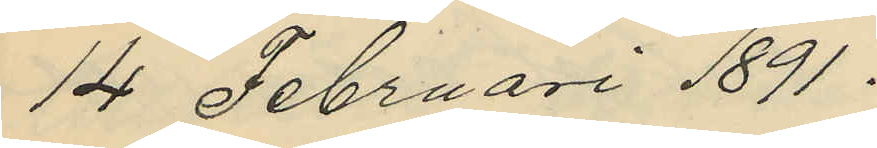14 Februari 1891.
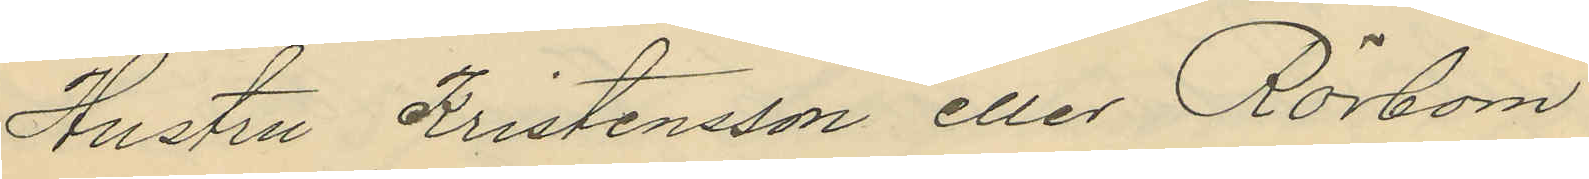Hustru Kristensson eller Rörbom
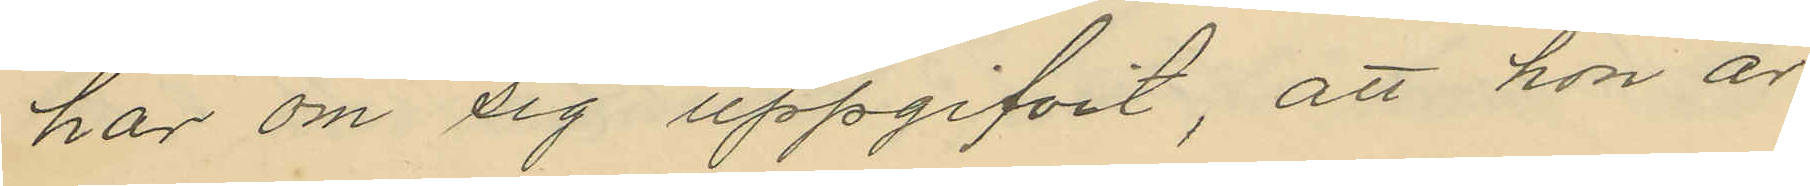har om sig uppgifvit, att hon är
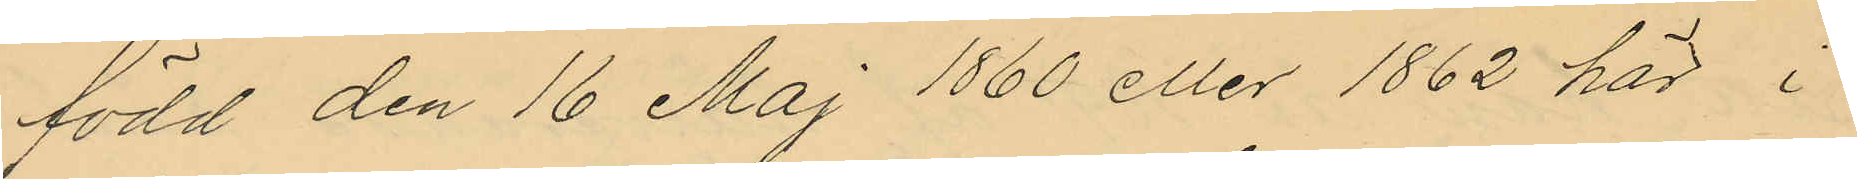född den 16 Maj 1860 eller 1862 här i
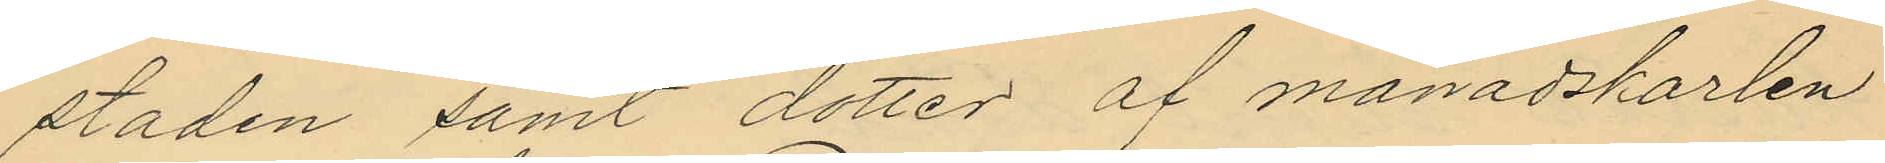staden samt dotter af månadskarlen
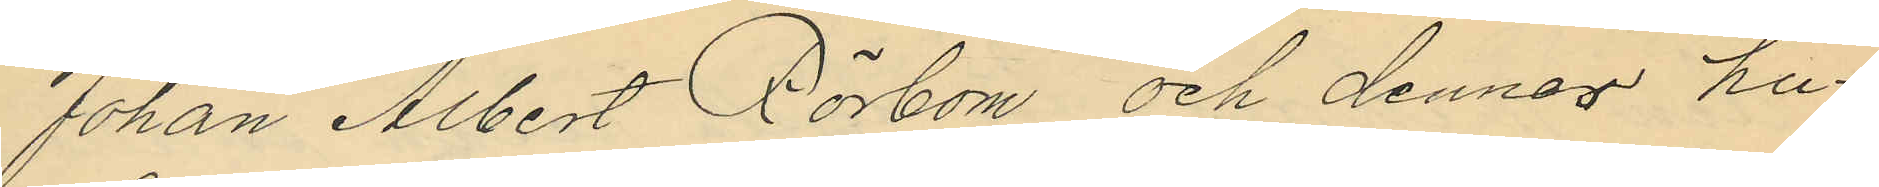Johan Albert Rörbom och dennes hu¬
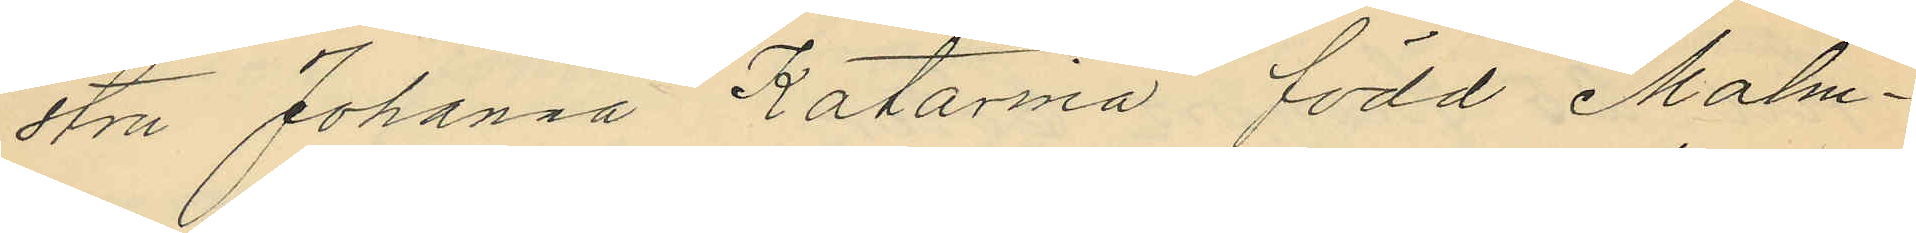stru Johanna Katarina född Malm¬
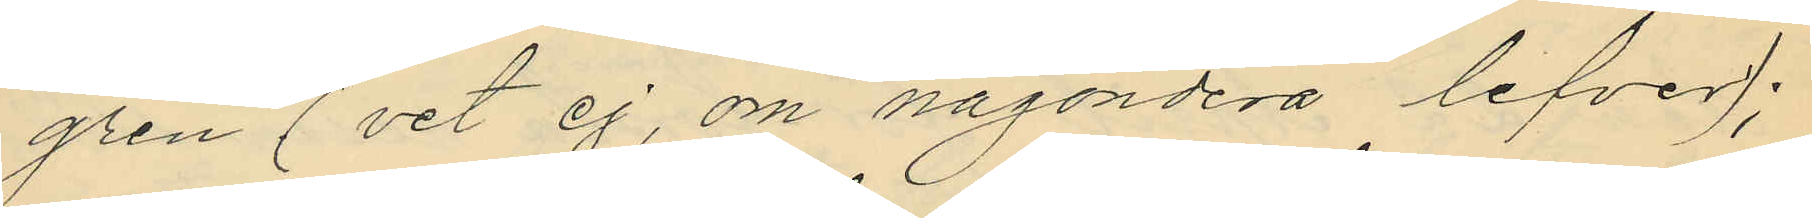gren (vet ej, om någondera lefver);
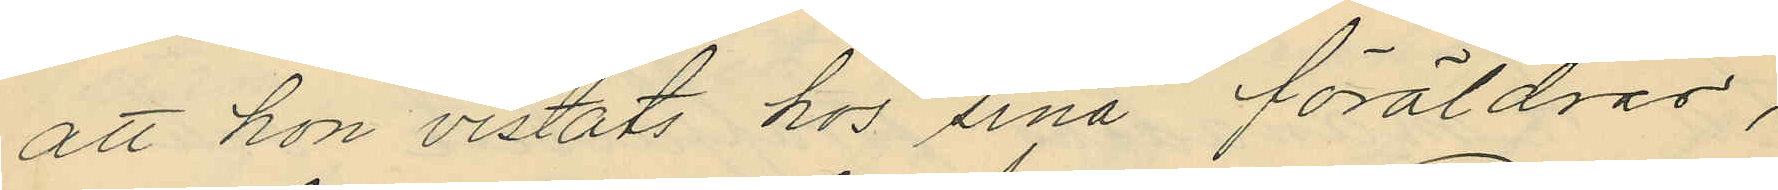att hon vistats hos sina föräldrar,
